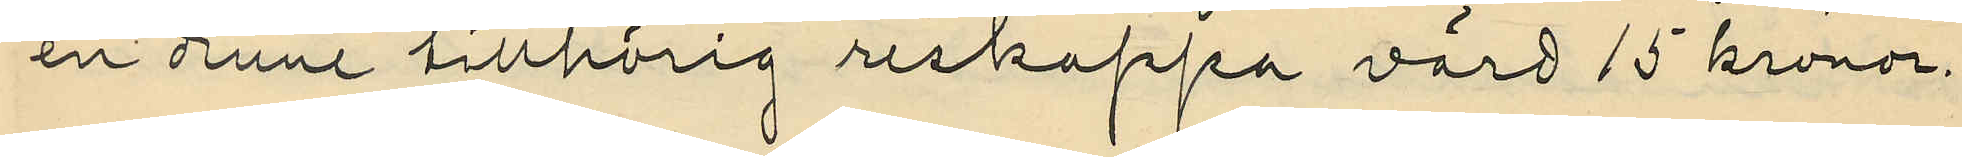en denne tillhörig reskappa värd 15 kronor.
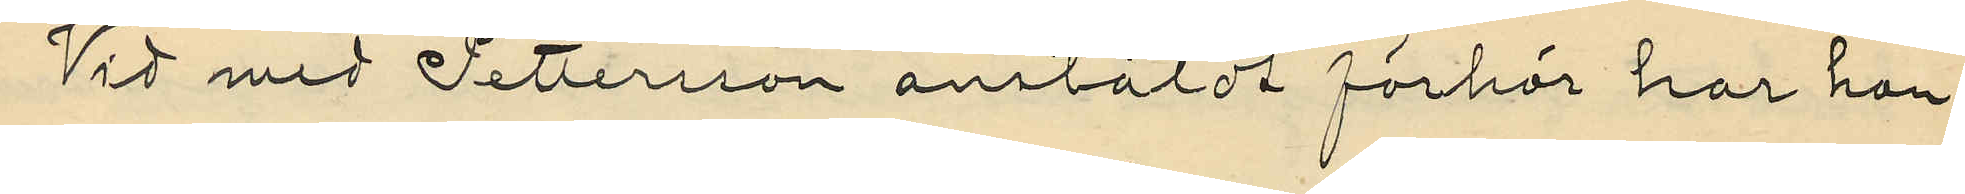Vid med Pettersson anstäldt förhör har han
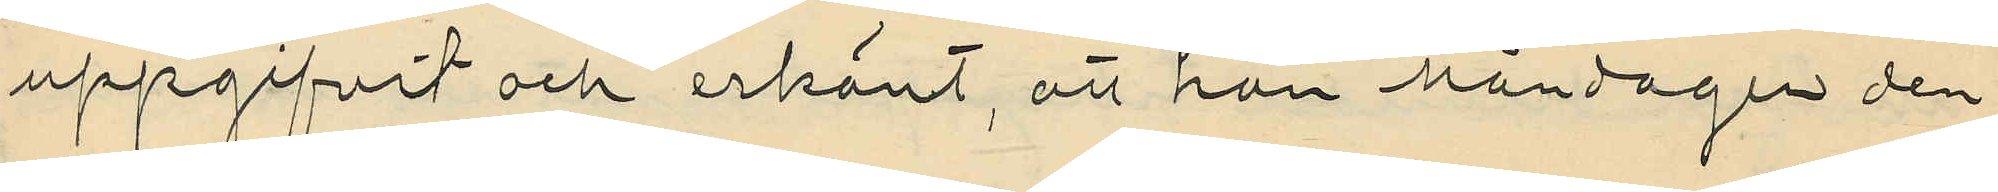uppgifvit och erkänt, att han Måndagen den
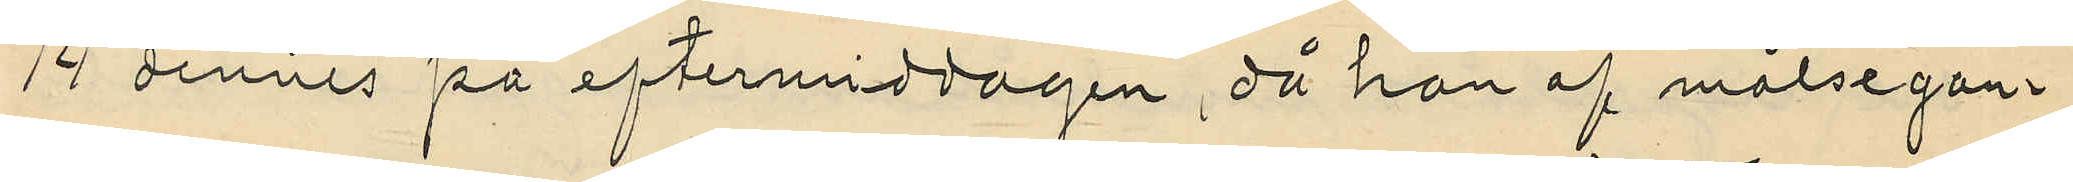14 dennes på eftermiddagen, då han af målsegan¬
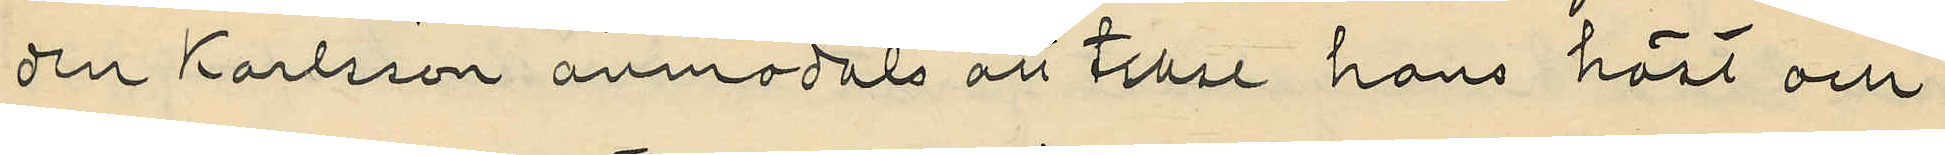den Karlsson anmodats att tillse hans häst och
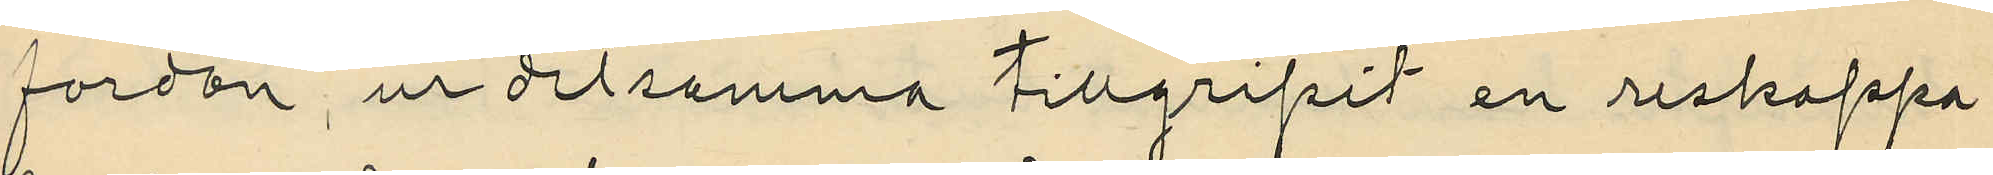fordon, ur detsamma tillgripit en reskappa
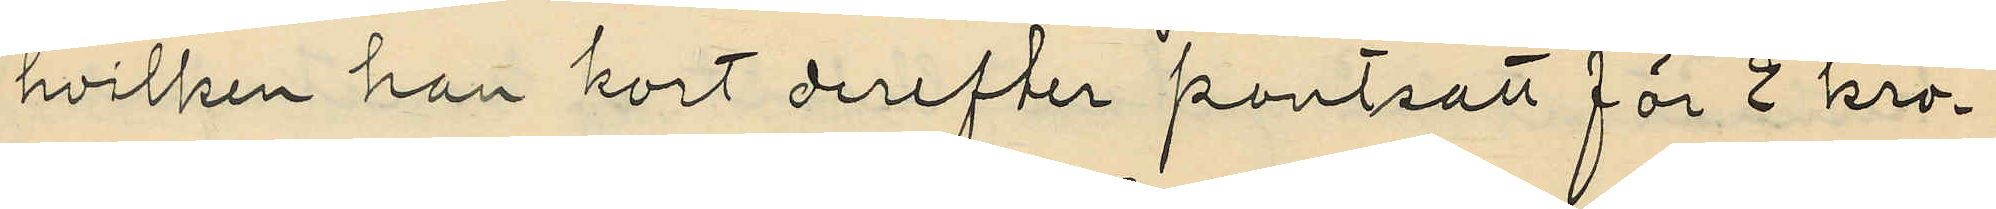hvilken han kort derefter pantsatt för 2 kro¬
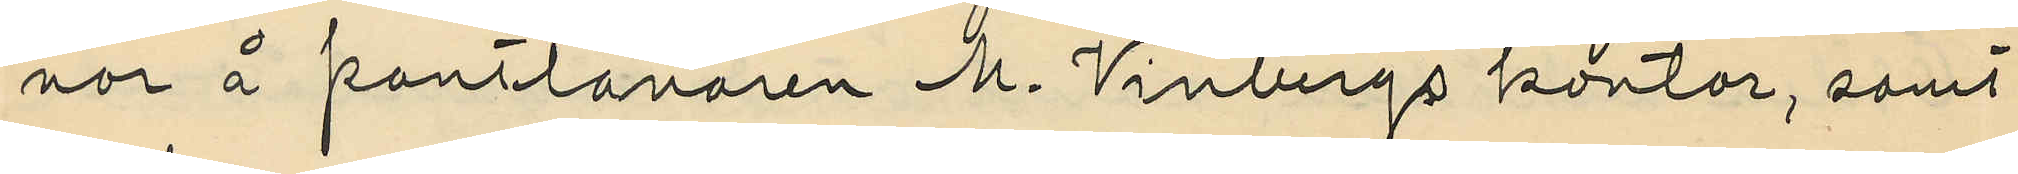nor å pantlånaren M. Winbergs kontor, samt
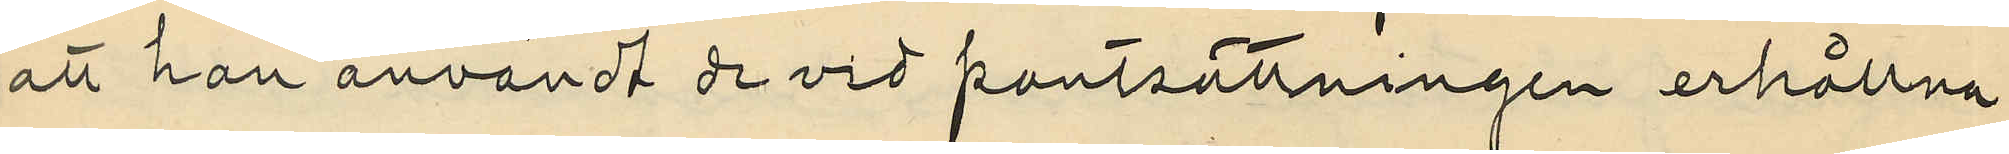att han användt de vid pantsättningen erhållna
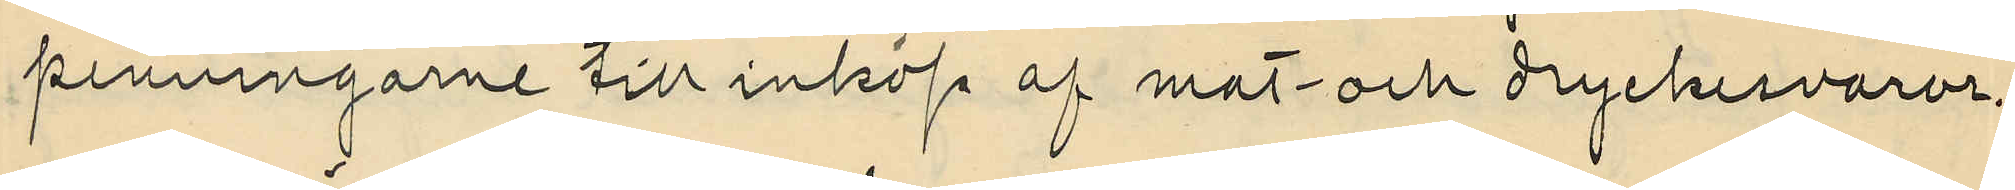penningarne till inköp af mat och dryckesvaror.
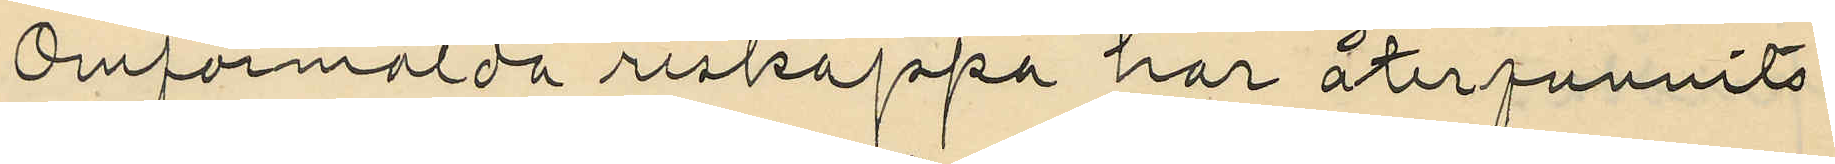Omförmälda reskappa har återfunnits
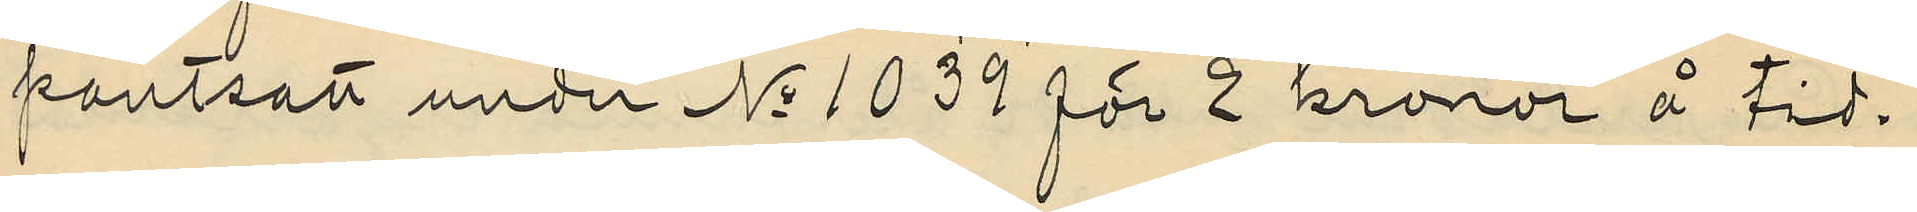pantsatt under No 1039 för 2 kronor å tid
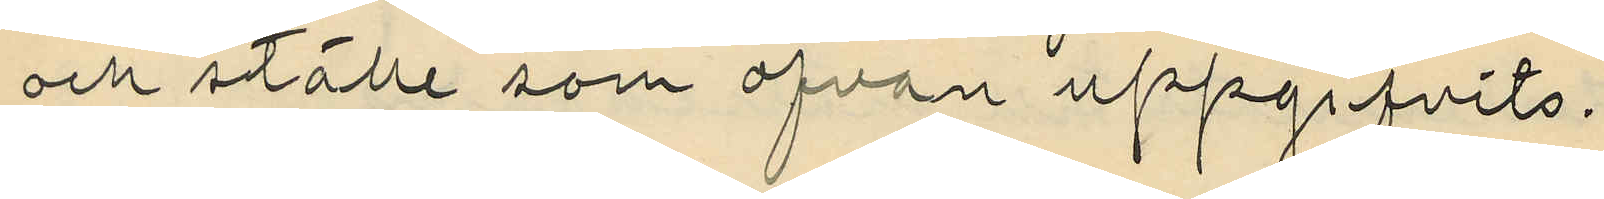och ställe som ofvan uppgifvits.
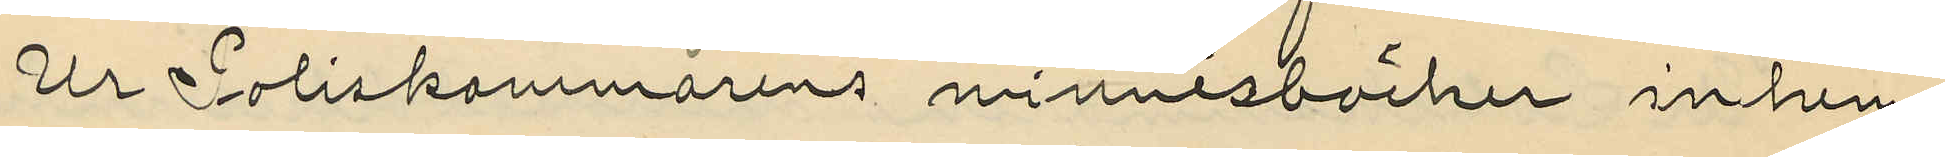Ur Poliskammarens minnesböcker inhem¬
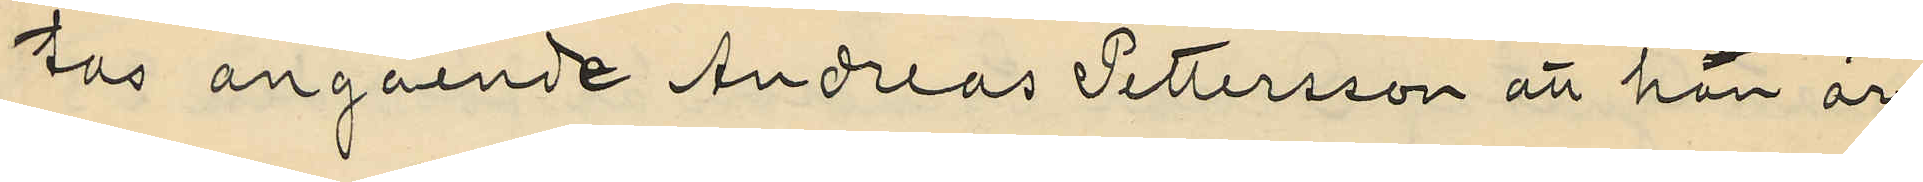hos angående Andreas Pettersson att han är
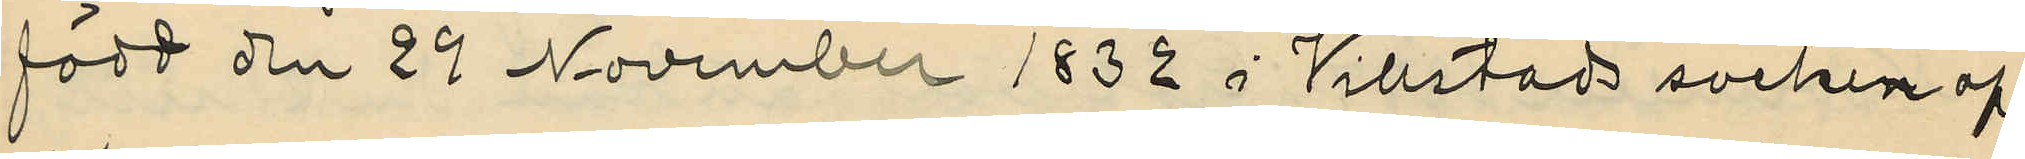född den 29 November 1832 i Villstads socken af
